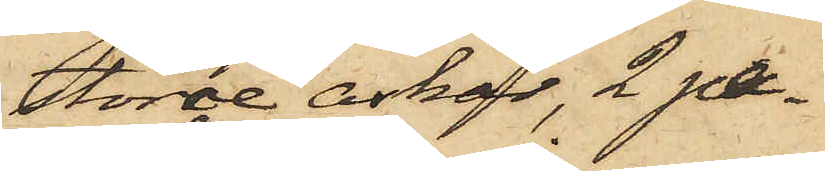större askar, 2 pa¬
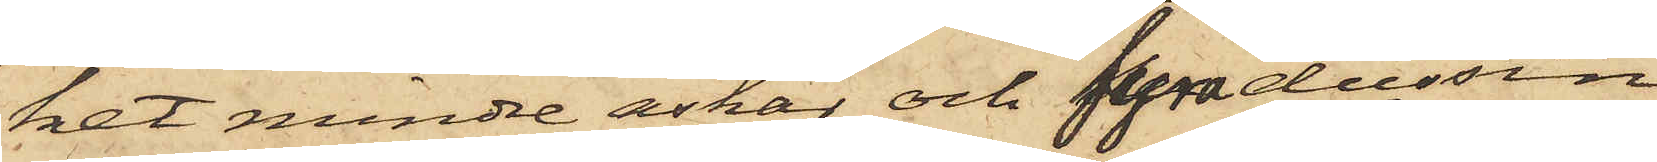ket mindre askar och fyra dussin
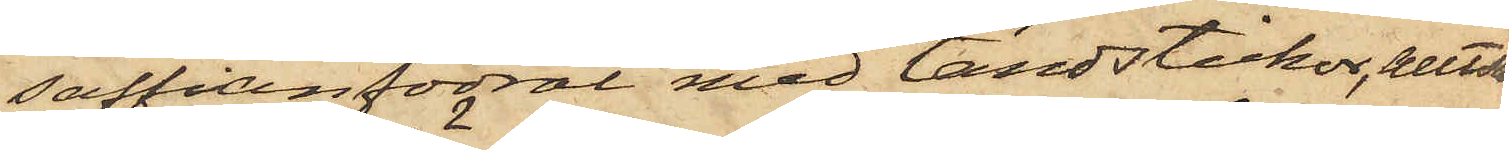saffianfodral med tändstickor, alltsam¬
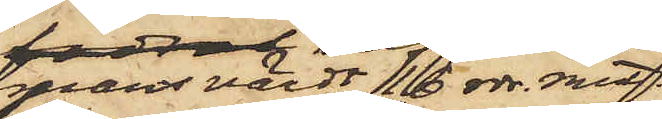mans värdt 16 rdr. rmt.
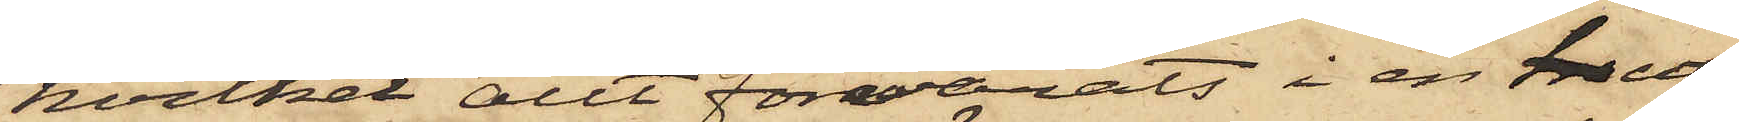hvilket allt förvarats i en uti
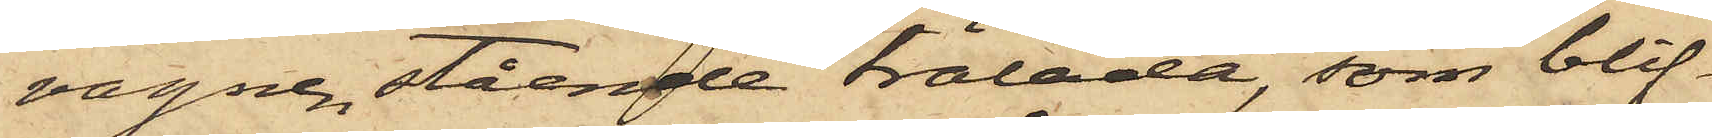vagnen stående trälåda, som blif¬
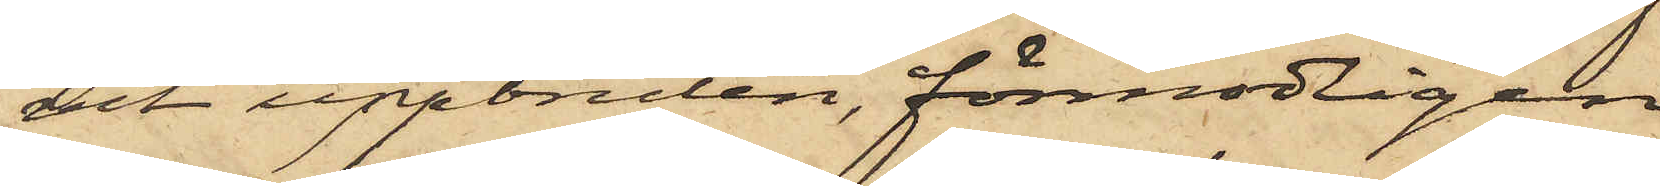vit uppbruten, förmodligen
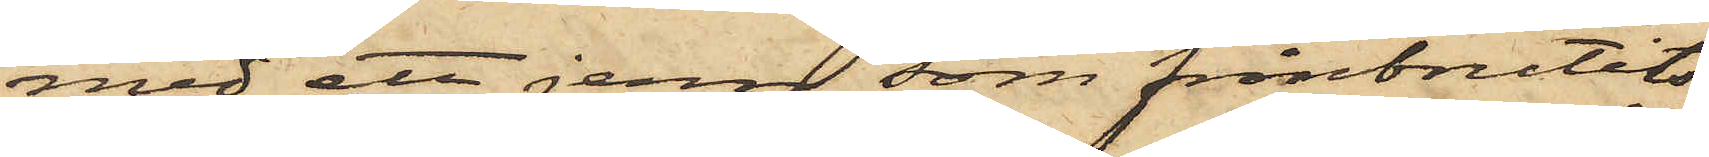med ett jern som frånbrutits
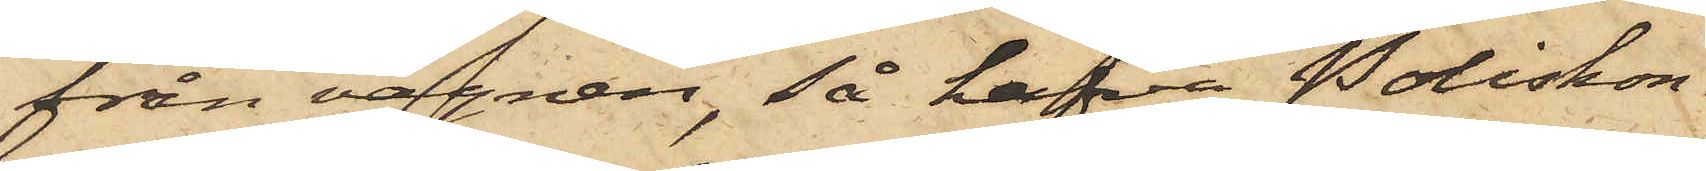från vagnen, så hafva Poliskon¬
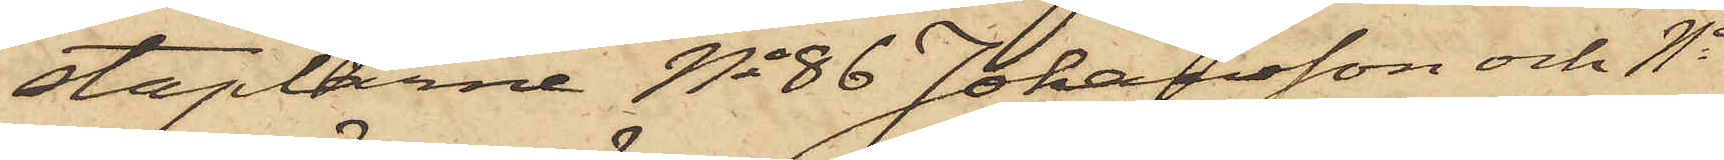staplarne No 86 Johansson och No
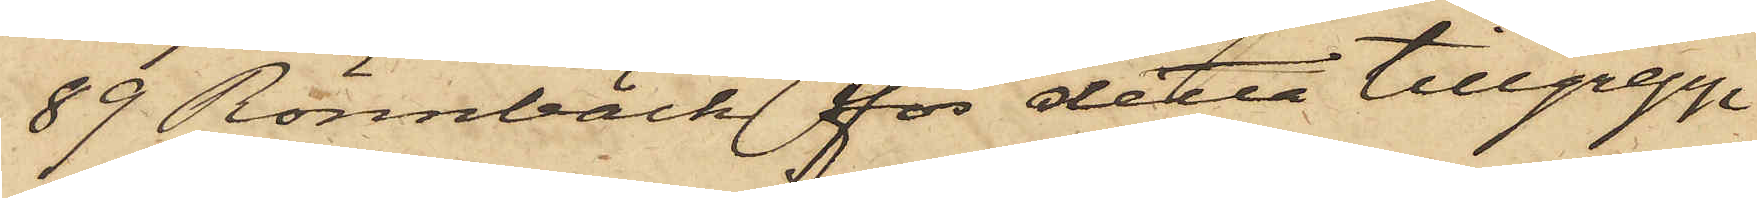89 Rönnbäck för detta tillgrepp
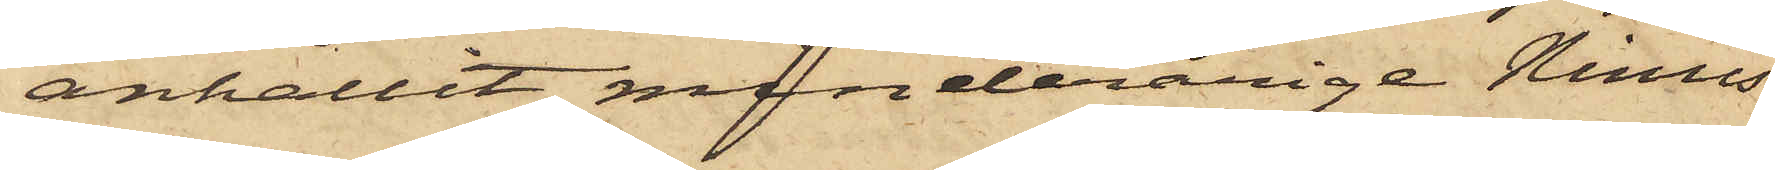anhållit minderårige Ninus
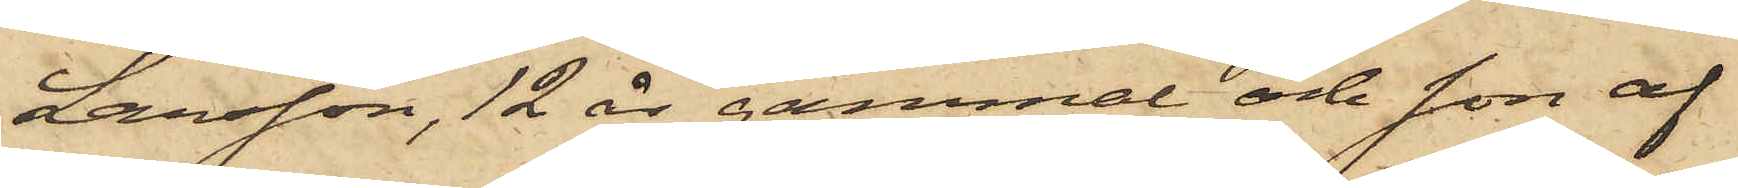Larsson, 12 år gammal och son af
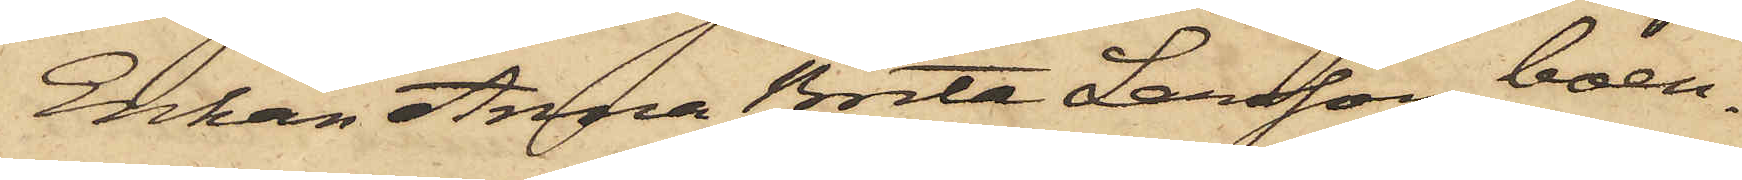Enkan Anna Brita Larsson, boen¬
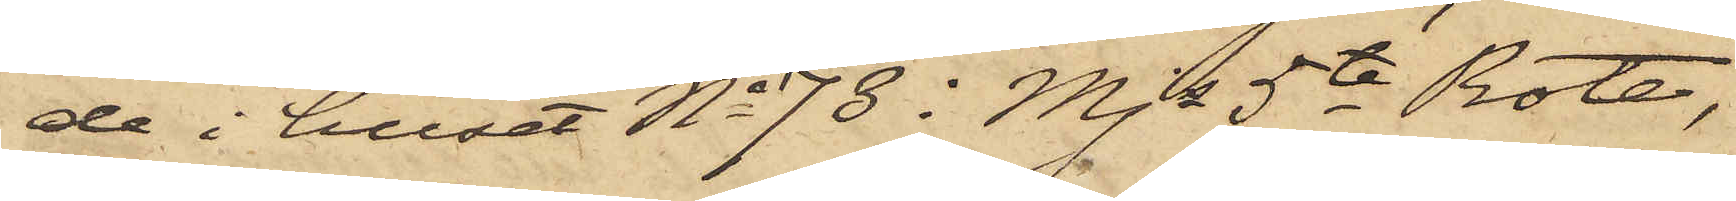de i huset No 73 i Mjs 5te Rote,
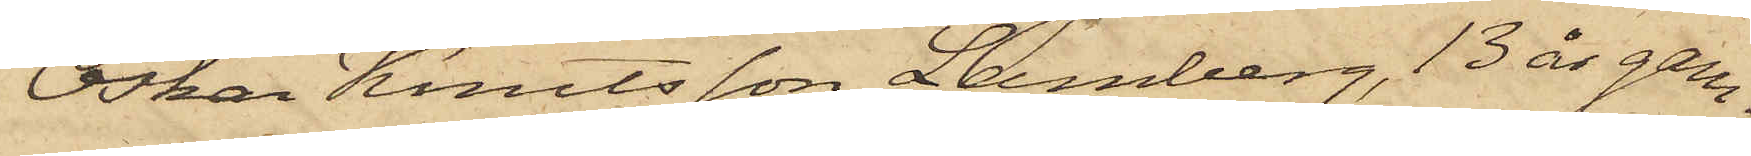Oskar Knutsson Lamberg, 13 år gam¬
